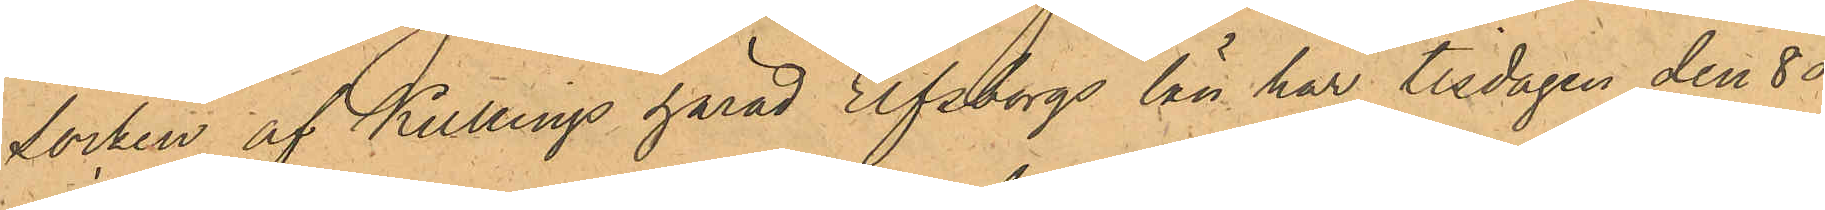socken af Kullings härad Elfsborgs län har tisdagen den 8 ds
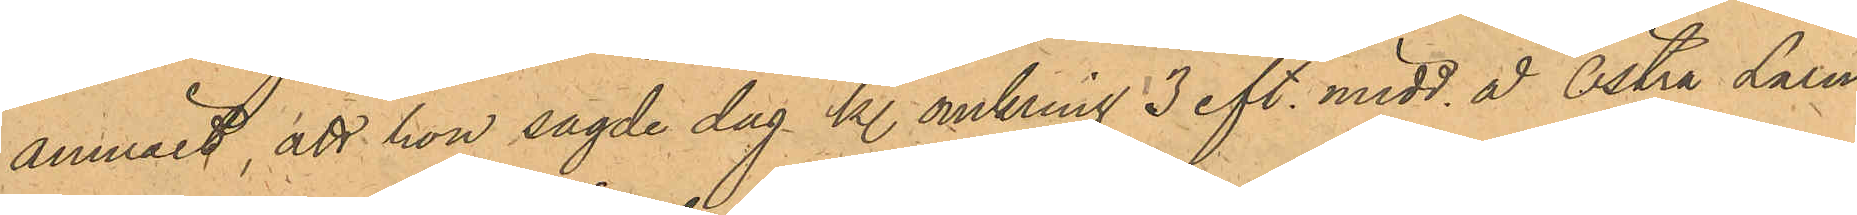anmält, att hon sagde dag kl. omkring 3 eft. midd. å Östra Larm¬
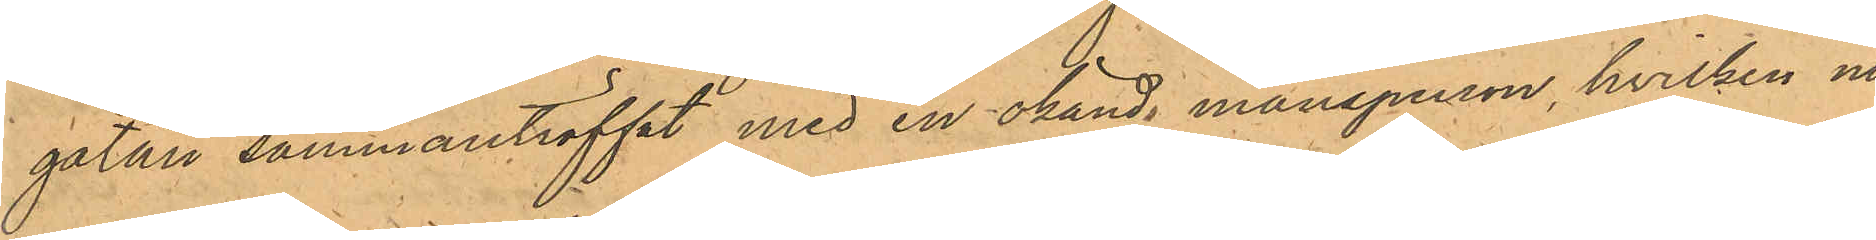gatan sammanträffat med en okänd mansperson, hvilken nu
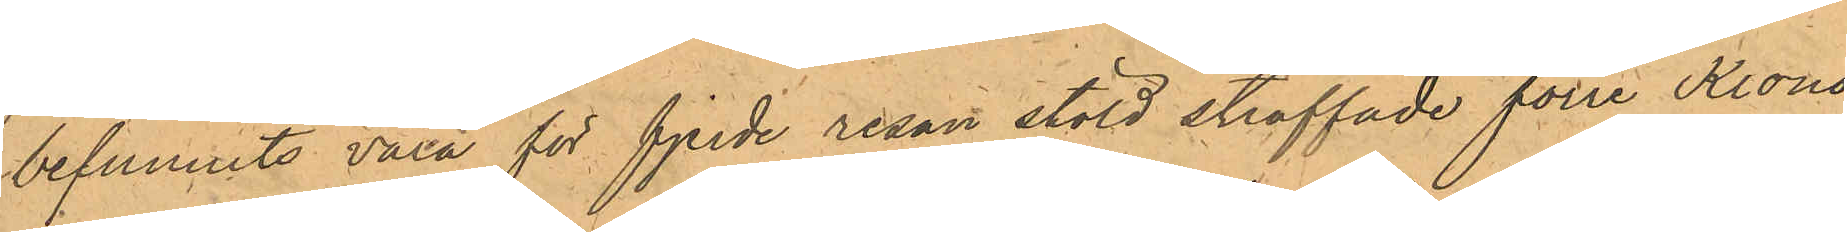befunnits vara för fjerde resan stöld straffade förre Krono¬
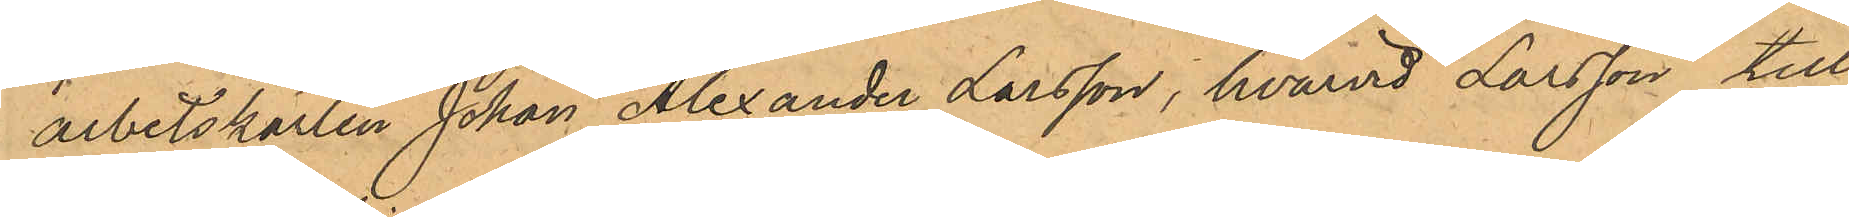arbetskarlen Johan Alexander Larsson, hvarvid Larsson till
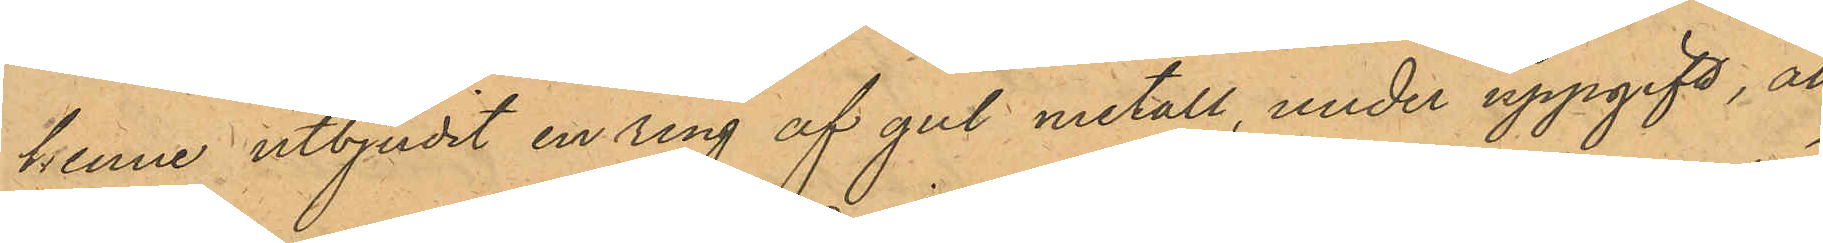henne utbjudit en ring af gul metall, under uppgift, att
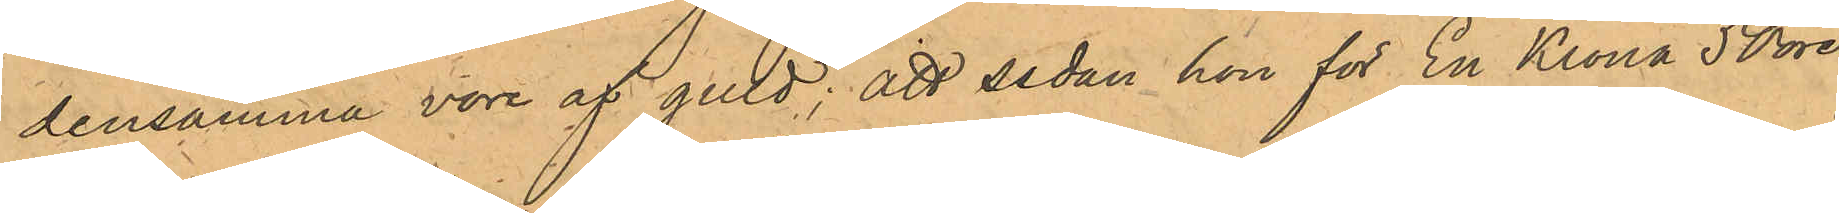densamma vore af guld; att sedan hon för En Krona 50 öre
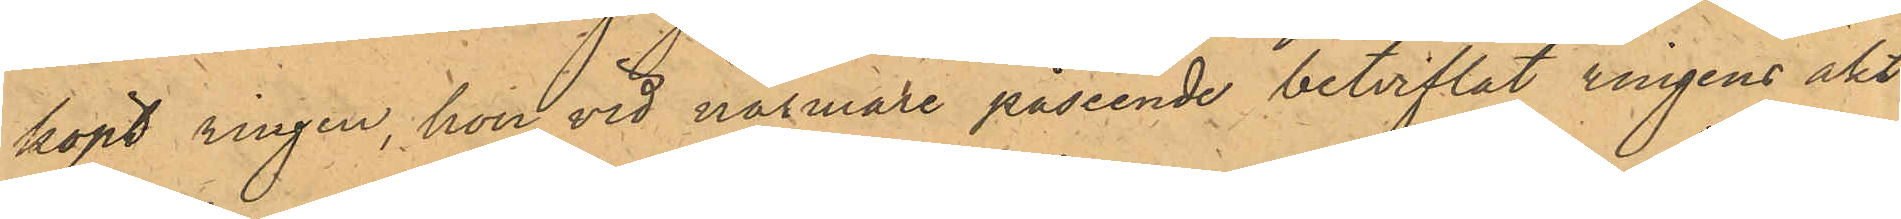köpt ringen, hon vid närmare påseende betviflat ringens äkt¬
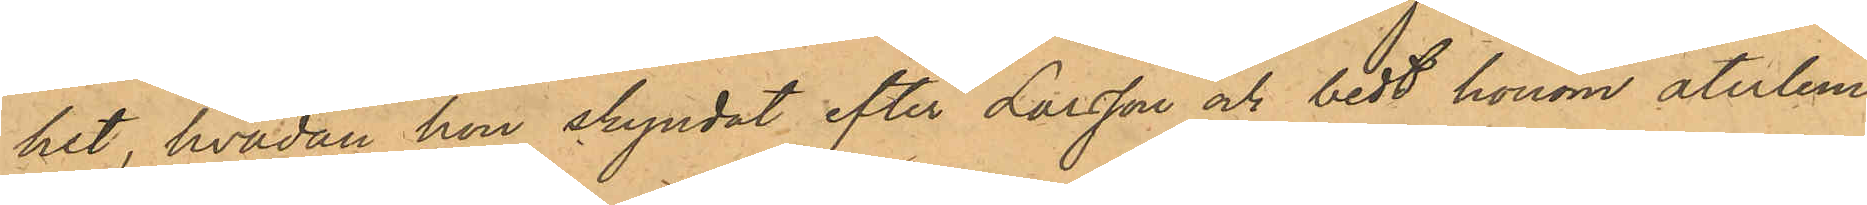het, hvadan hon skyndat efter Larsson och bedt honom återlem¬
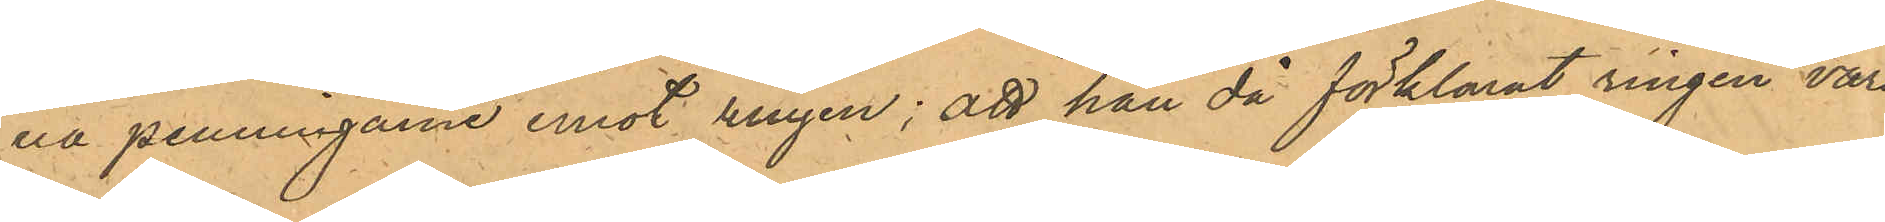na penningarne emot ringen; att han då förklarat ringen vara
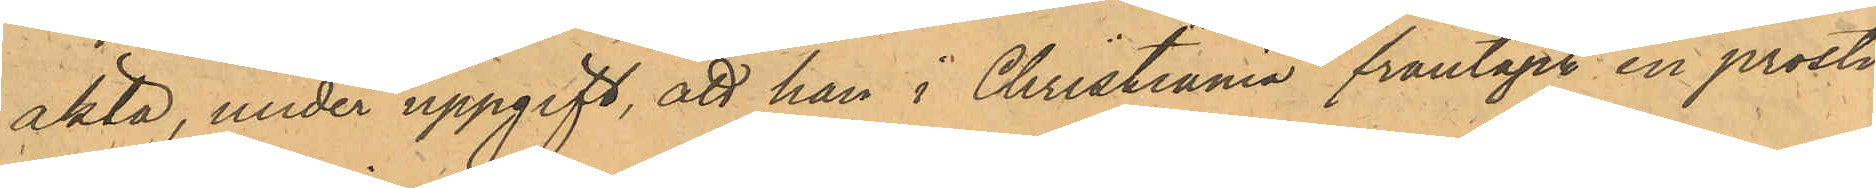äkta, under uppgift, att han i Christiania fråntagit en prosti¬
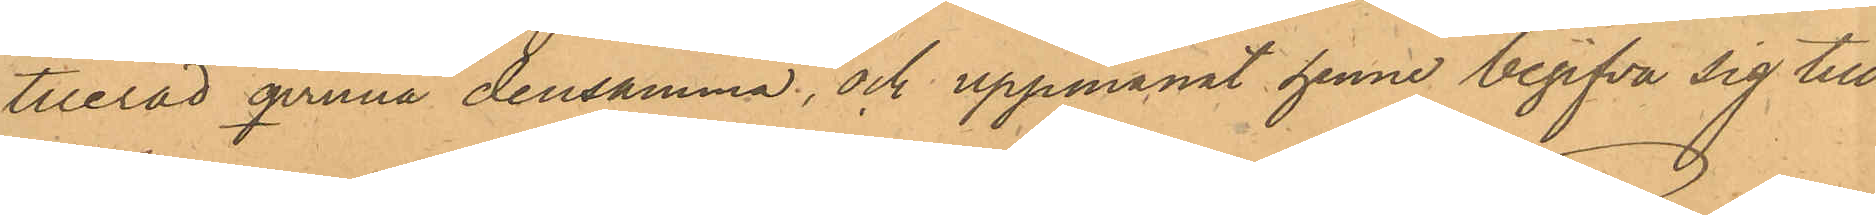tuerad qvinna densamma, och uppmanat henne begifva sig till
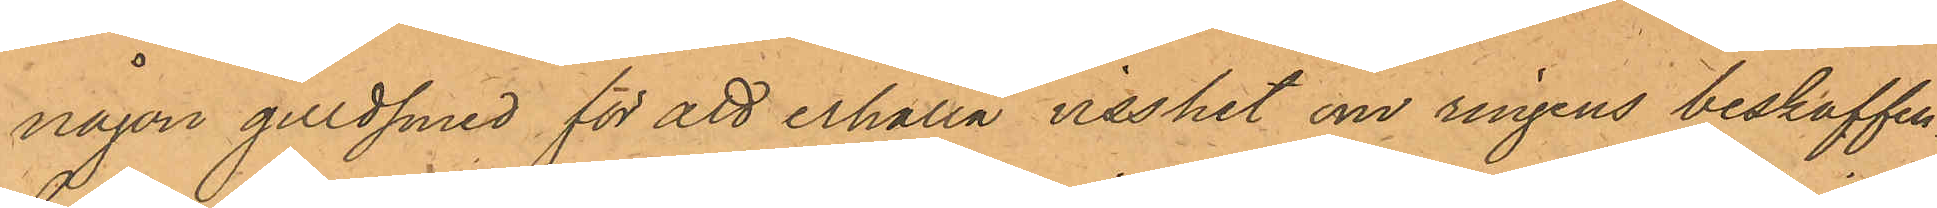någon guldsmed för att erhålla visshet om ringens beskaffen¬
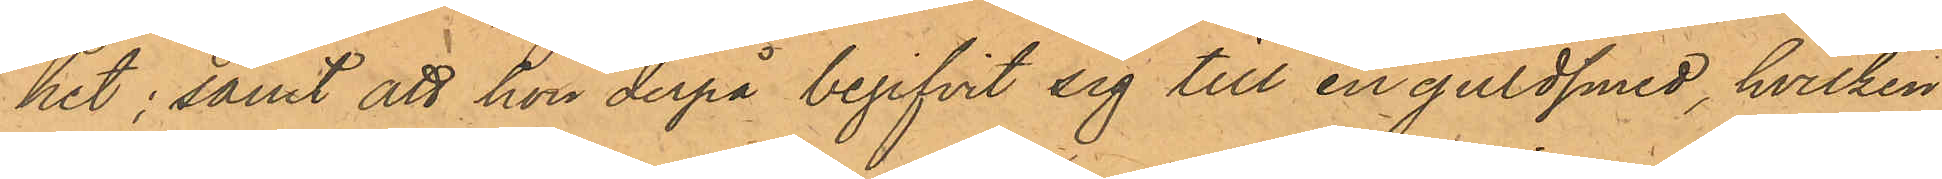het; samt att hon derpå begifvit sig till en guldsmed, hvilken
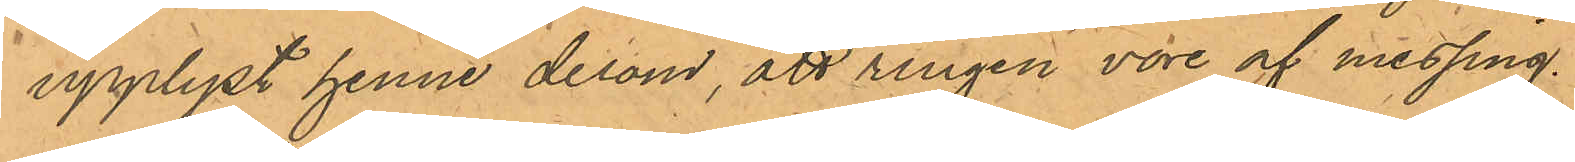upplyst henne derom, att ringen vore af messing.
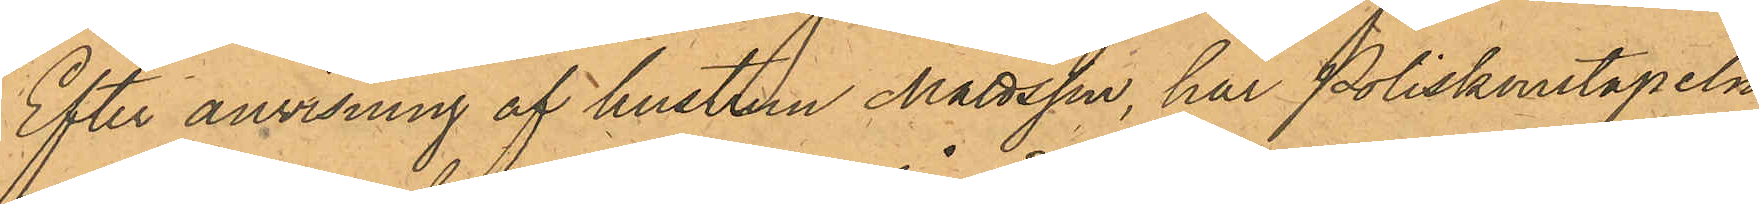Efter anvisning af hustrun Mattsson, har Poliskonstapeln
